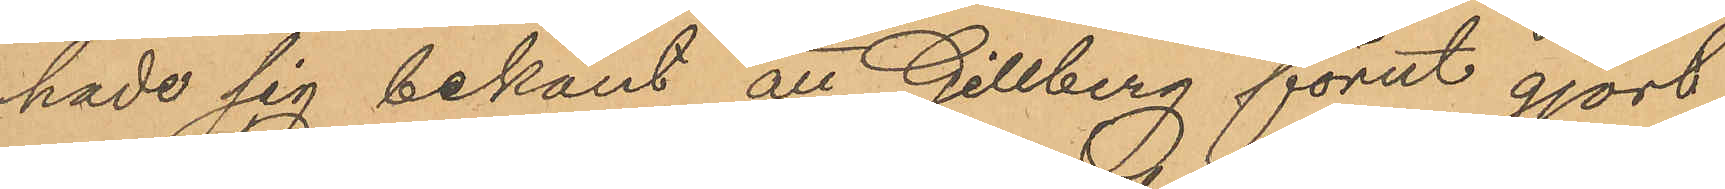hade sig bekant att Gillberg förut gjort
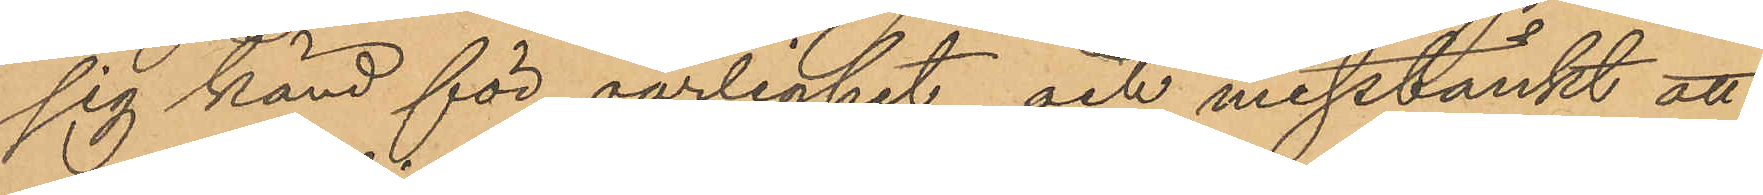sig känd för oärlighet och misstänkt att
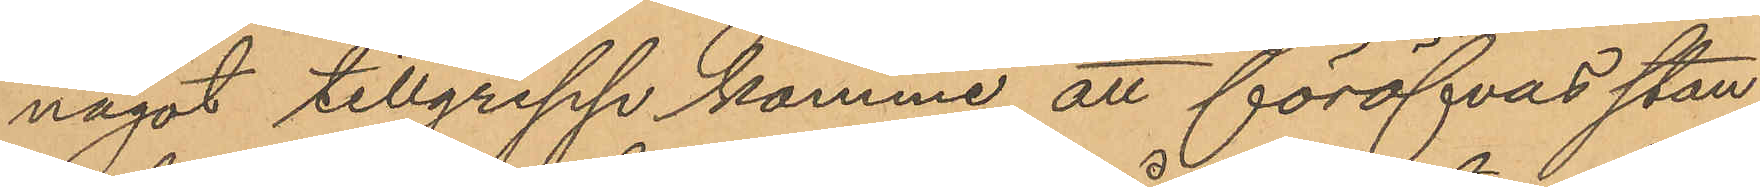något tillgrepp komme att föröfvas stan¬
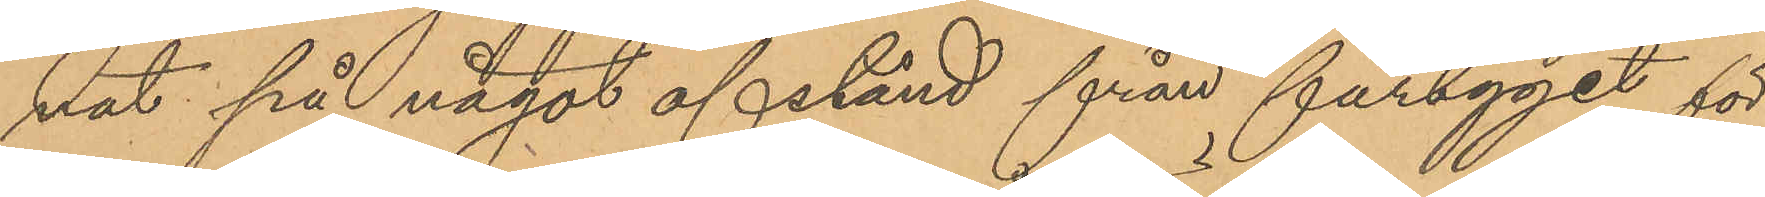nat på något afstånd från fartyget för
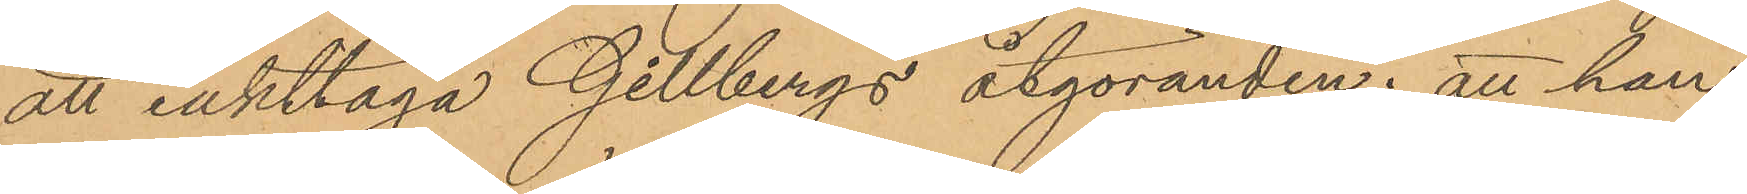att iakttaga Gillbergs åtgöranden; att han
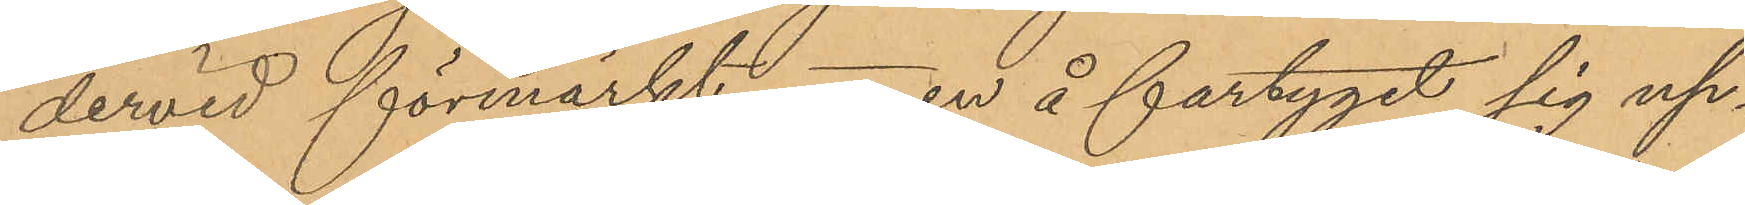dervid förmärkt en å fartyget sig up¬
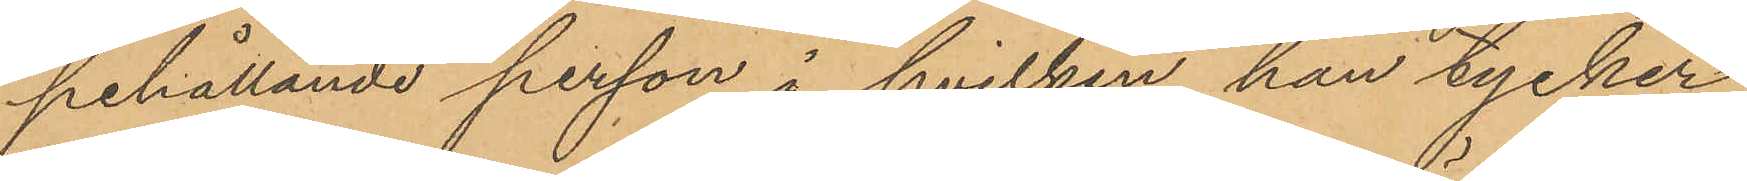pehållande person i hvilken han tycker
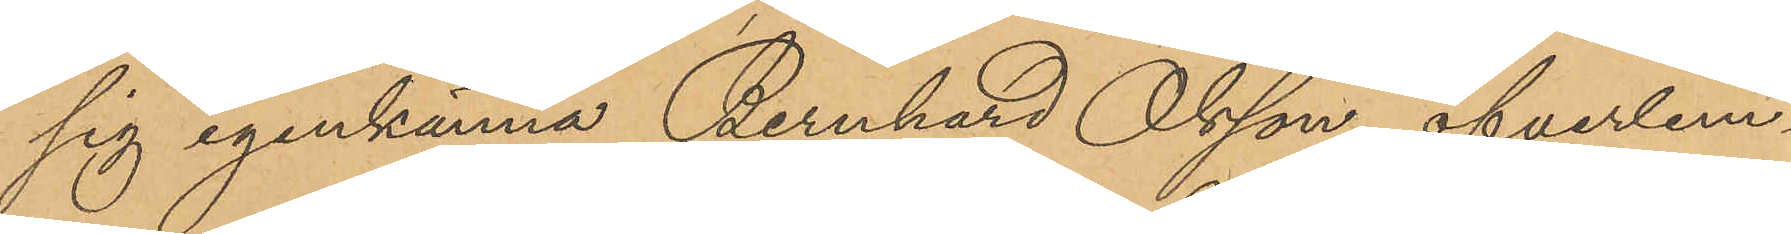sig igenkänna Bernhard Olsson, öfverlem¬
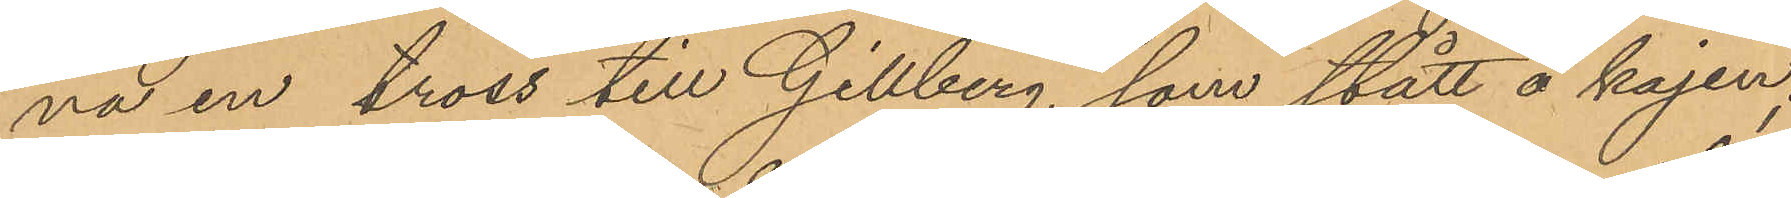na en tross till Gillberg som stått å kajen;
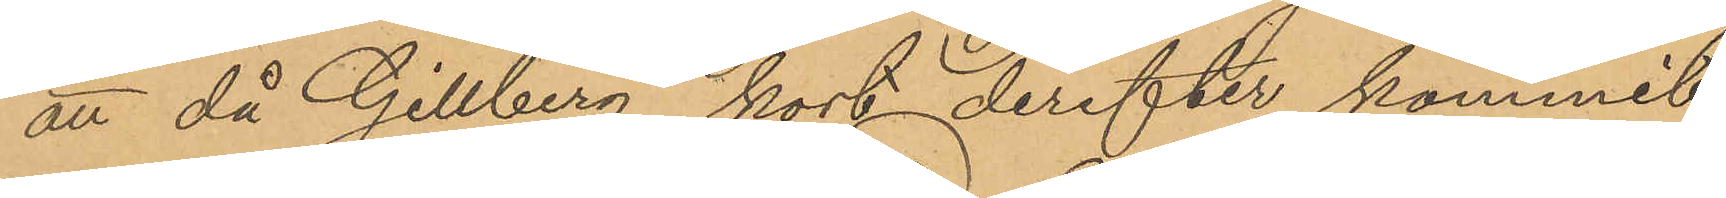att då Gillberg kort derefter kommit
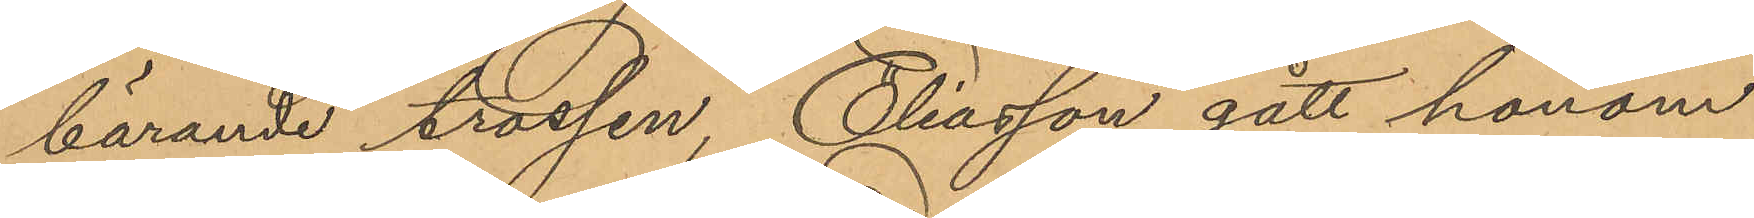bärande trossen, Eliasson gått honom
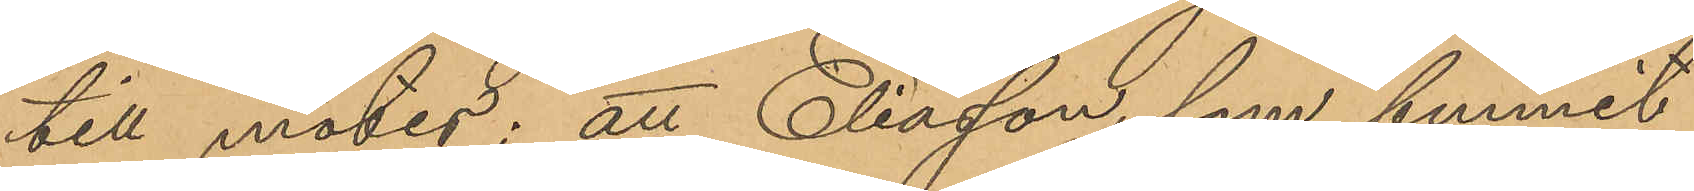till mötes; att Eliasson, som funnit
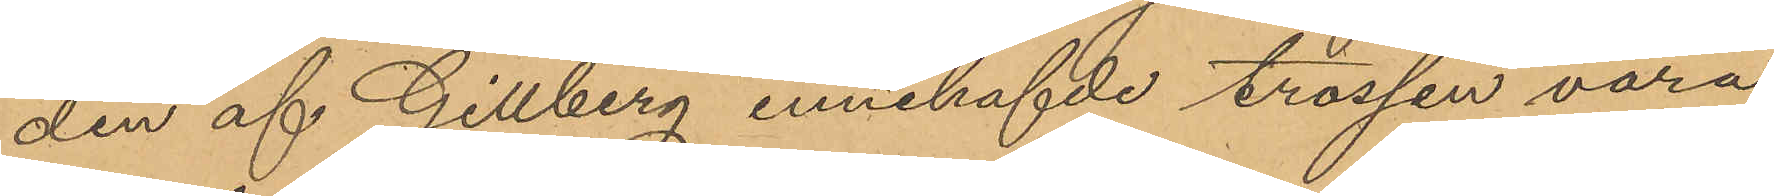den af Gillberg innehafvde trossen vara
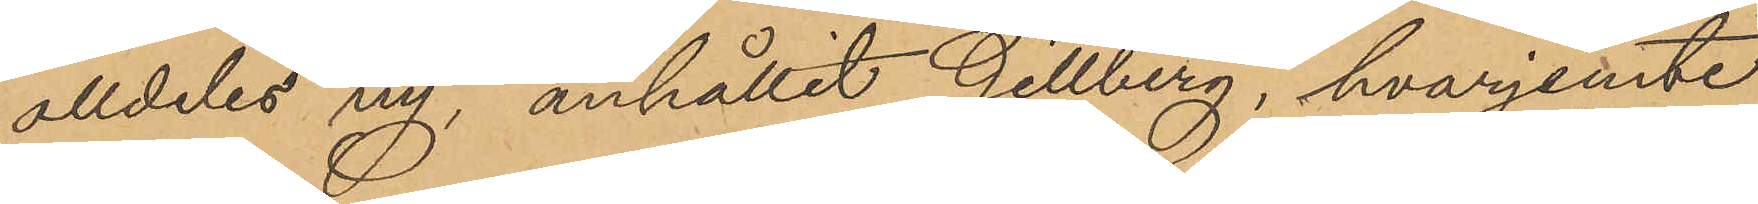alldeles ny, anhållit Gillberg, hvarjemte
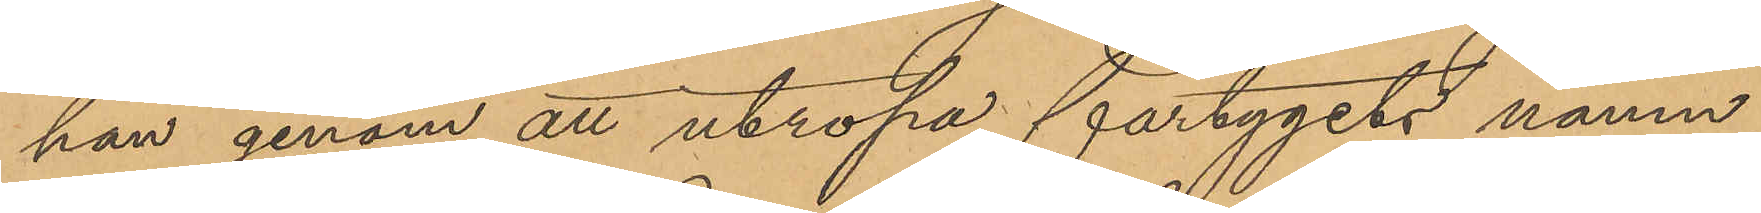han genom att utropa fartygets namn
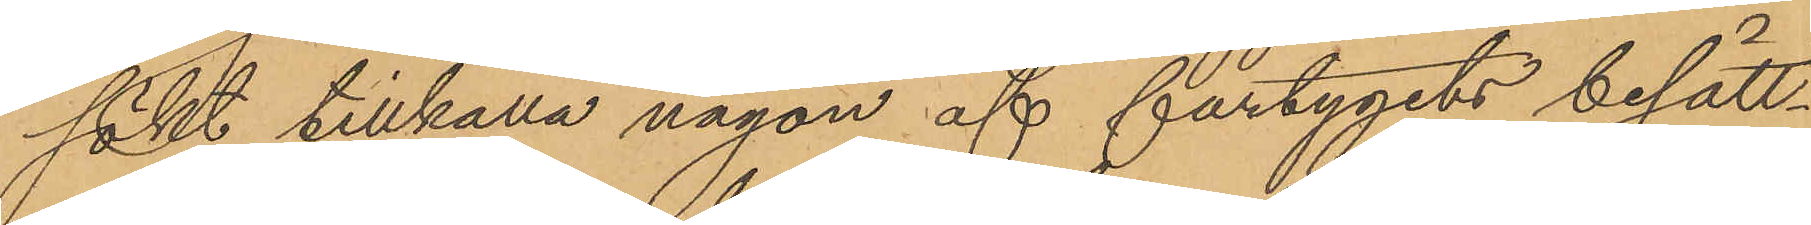sökt tillkalla någon af fartygets besätt¬
